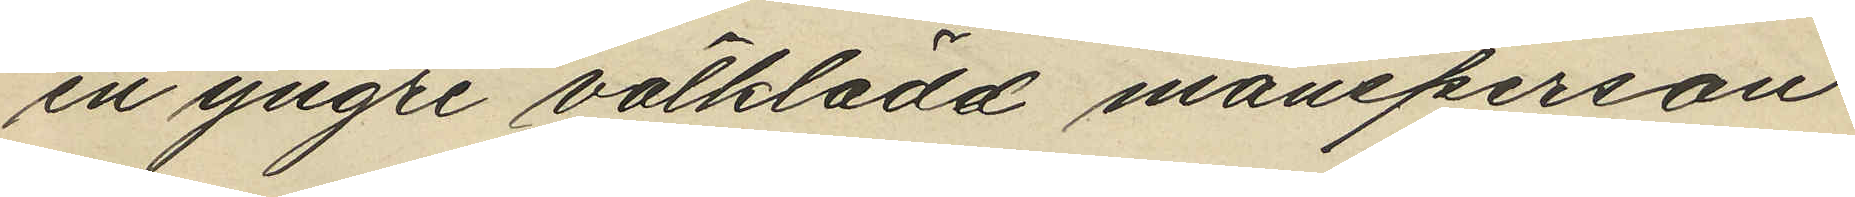en yngre välklädd mansperson
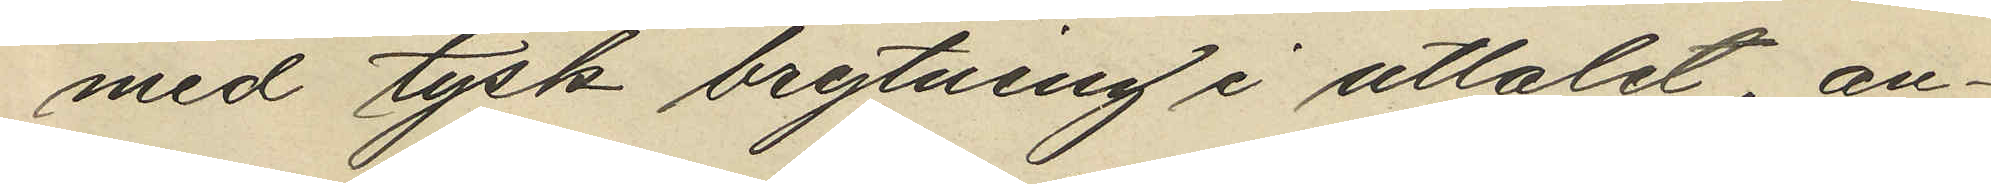med tysk brytning i uttalet, an¬
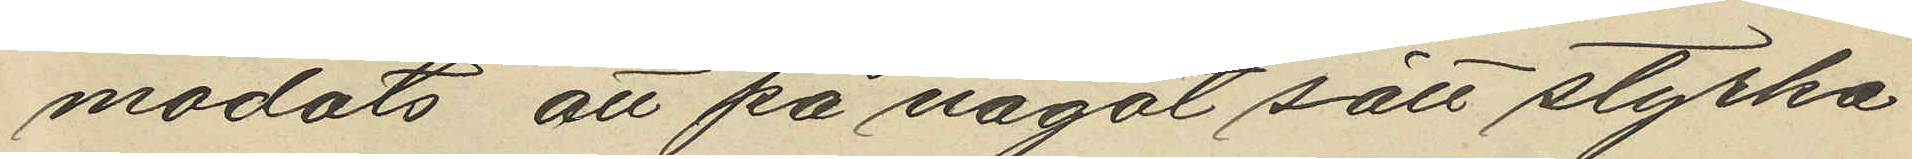modats att på något sätt styrka
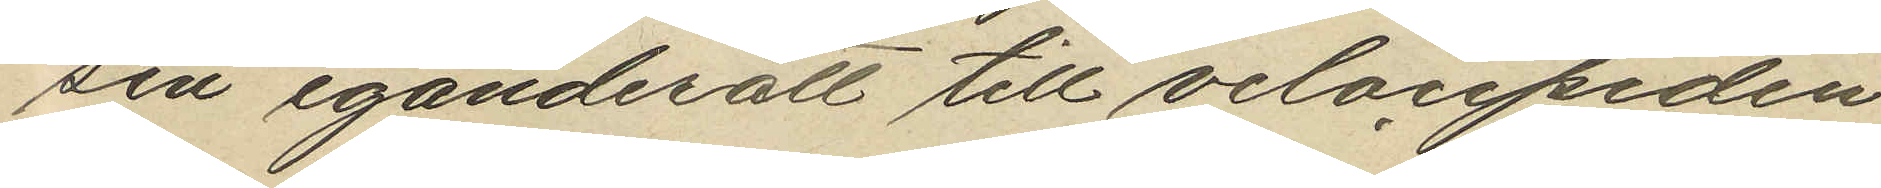sin eganderätt till velocipeden
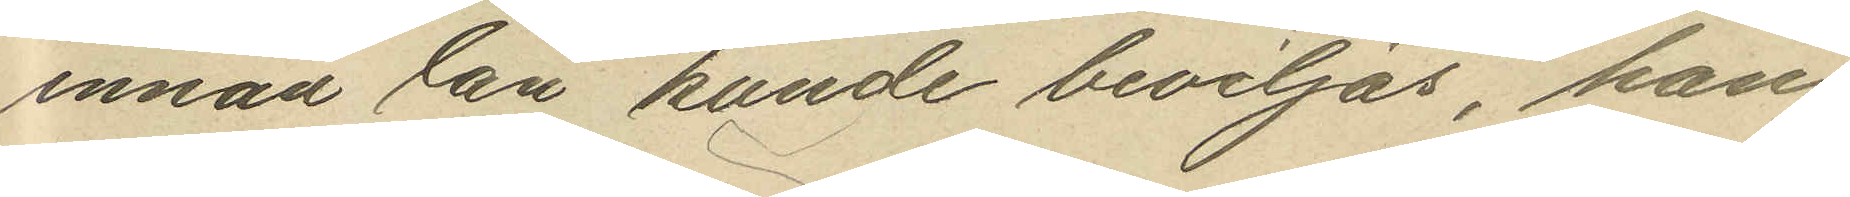innad lån kunde beviljas, han
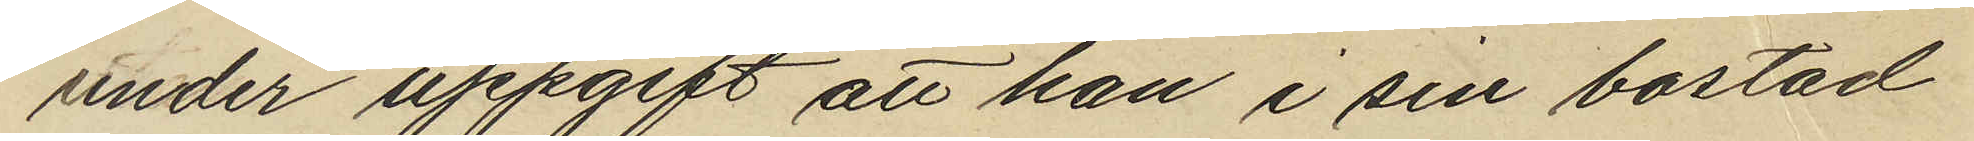under uppgift att han i sin bostad
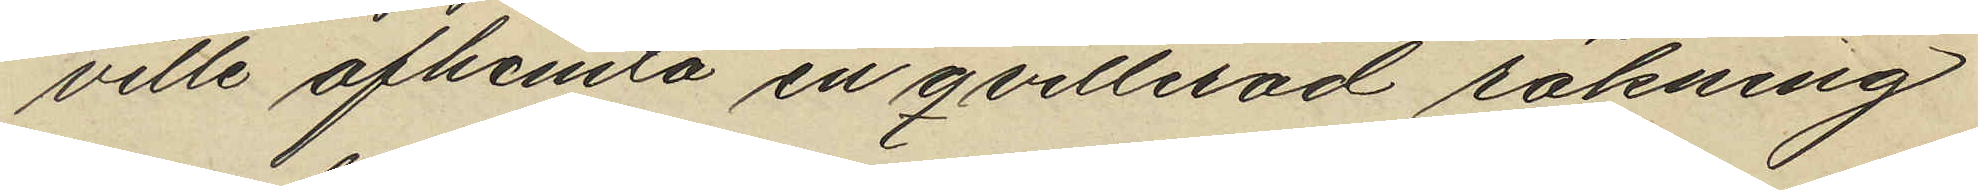ville afhemta en qvitterad räkning
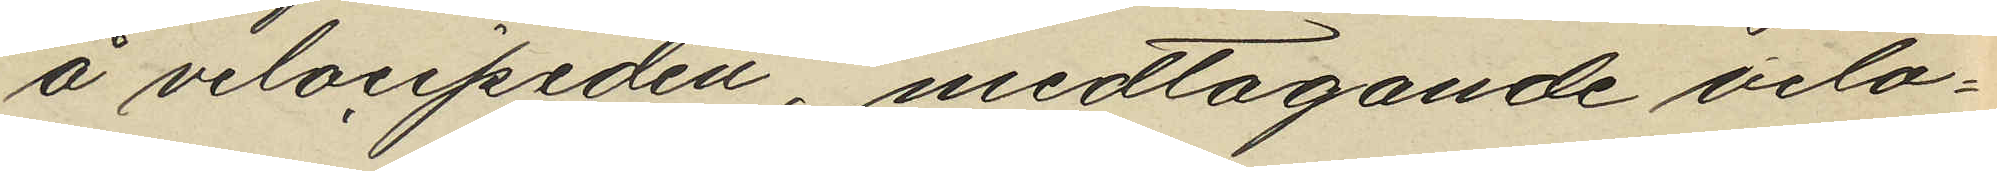å velocipeden, medtagande velo¬
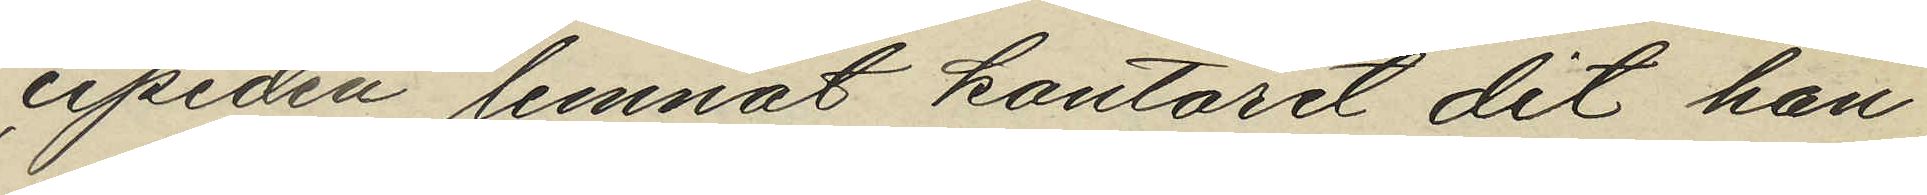cipeden lemnat kontoret dit han
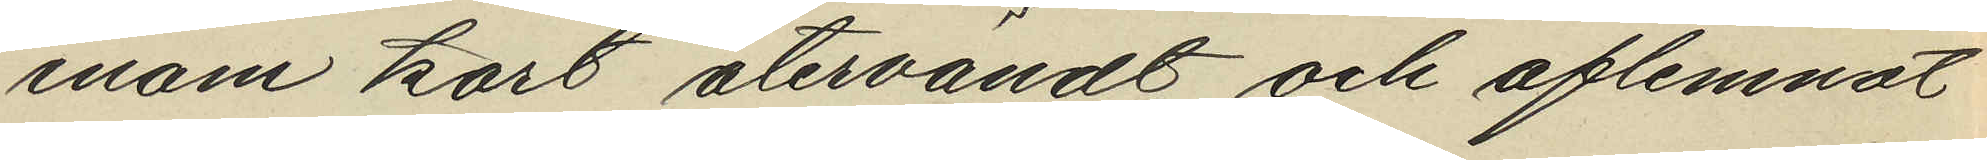inom kort återvändt och aflemnat
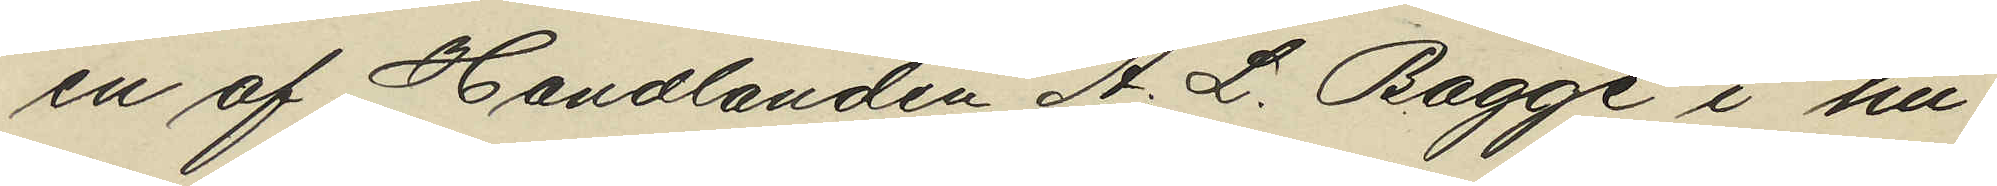en af Handlanden A. L. Bagge i hu¬
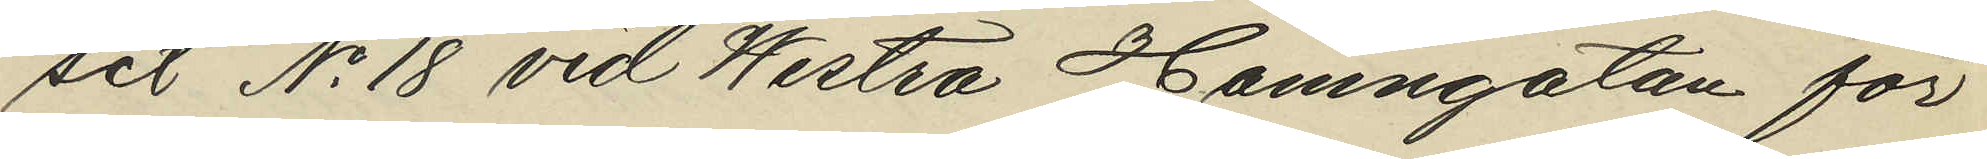set No 18 vid Westra Hamngatan för
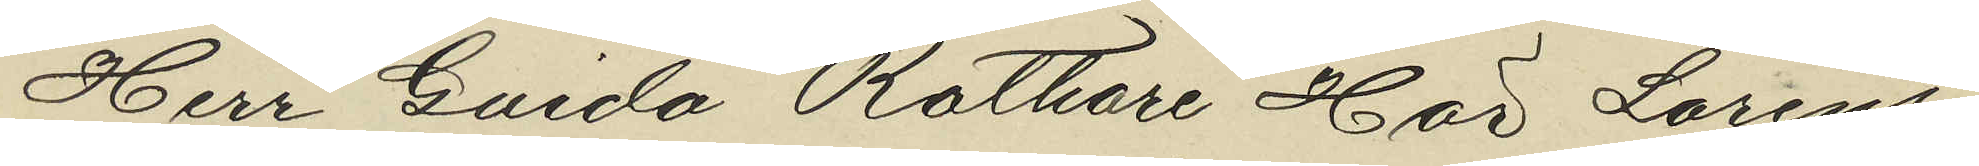Herr Guido Rothare Hos Lorens¬
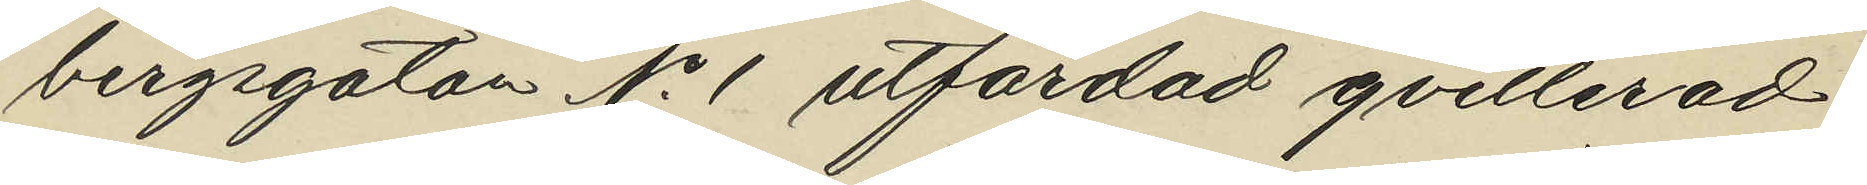bergsgatan No 1 utfärdad qvitterad
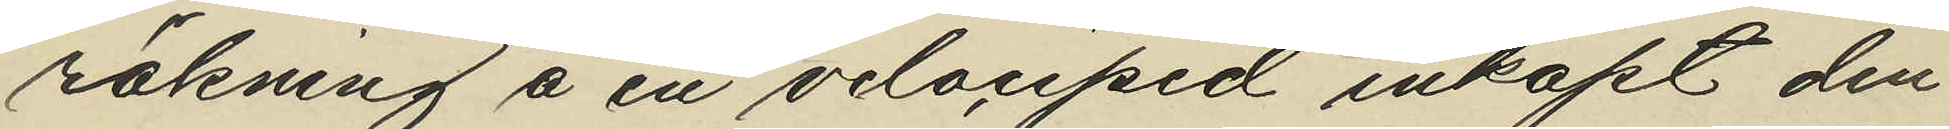räkning å en velociped inköpt den
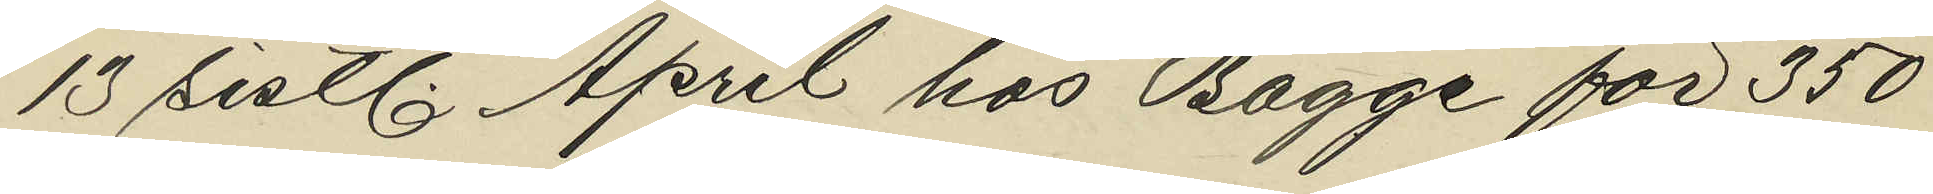13 sistl. April hos Bagge för 350
